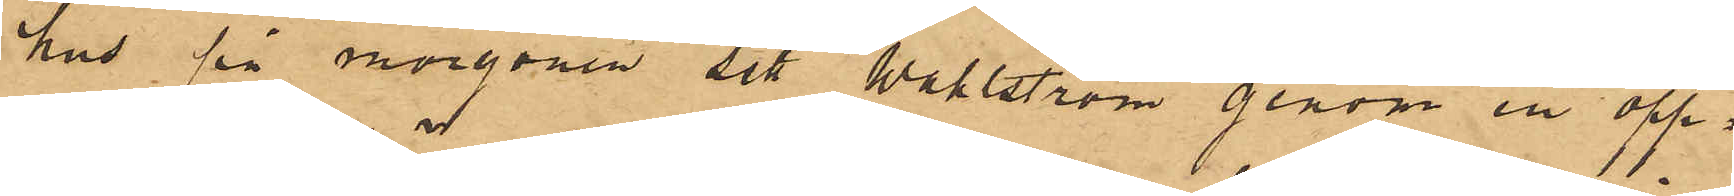hus på morgonen sett Wahlström genom en öpp¬
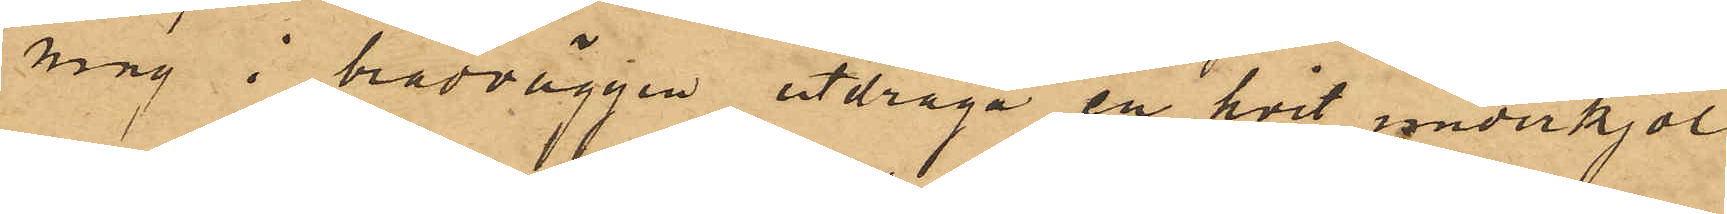ning i brädväggen utdraga en hvit underkjol,
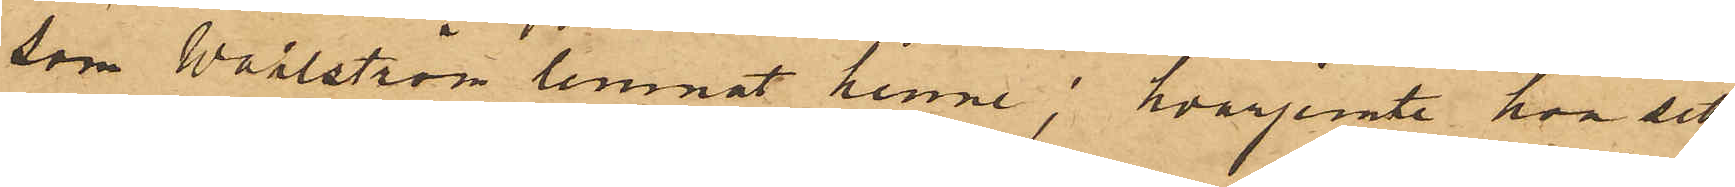som Wahlström lemnat henne; hvarjemte hon sett
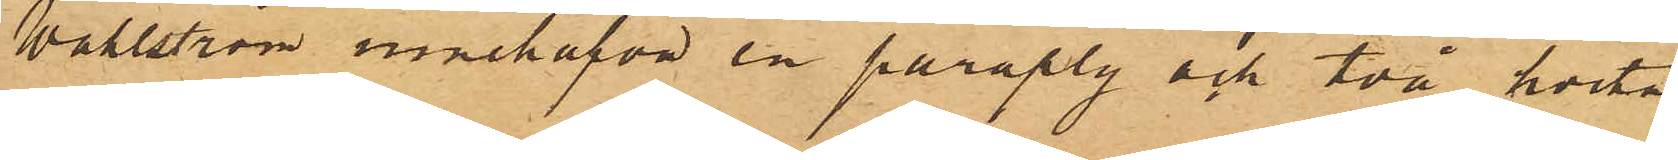Wahlström innehafva en paraply och två hvita
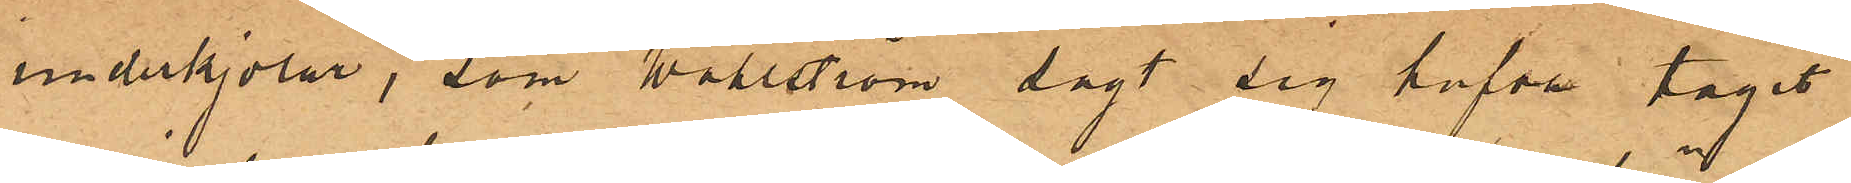underkjolar, som Wahlström sagt sig hafva tagit
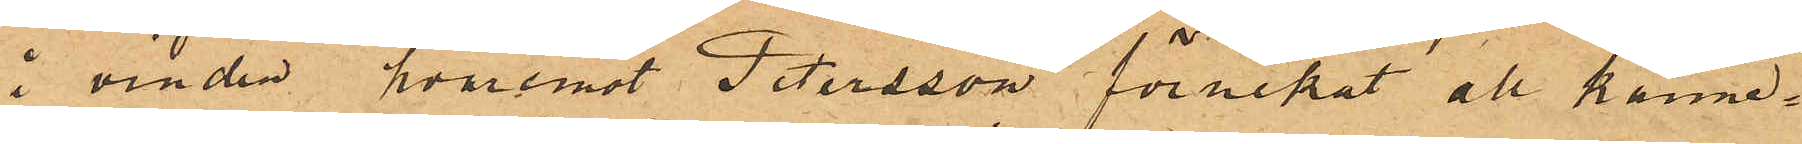å vinden, hvaremot Petersson förnekat all känne¬
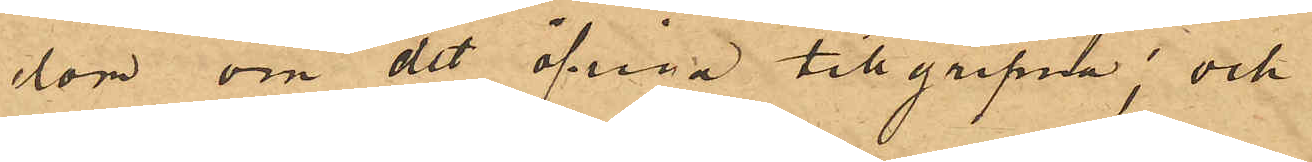dom om det öfriga tillgripna; och
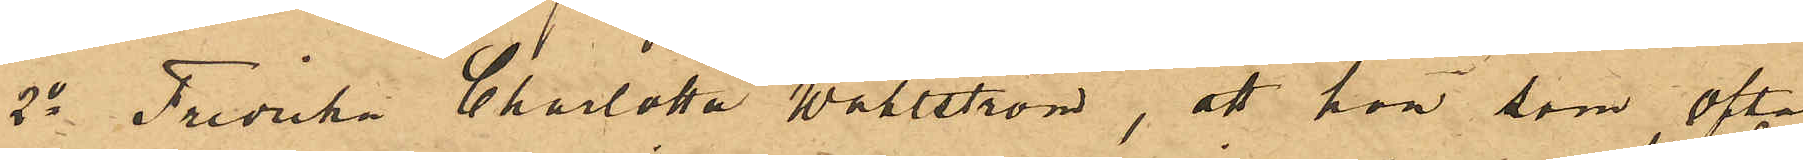2o Fredrika Charlotta Wahlström, att hon, som ofta
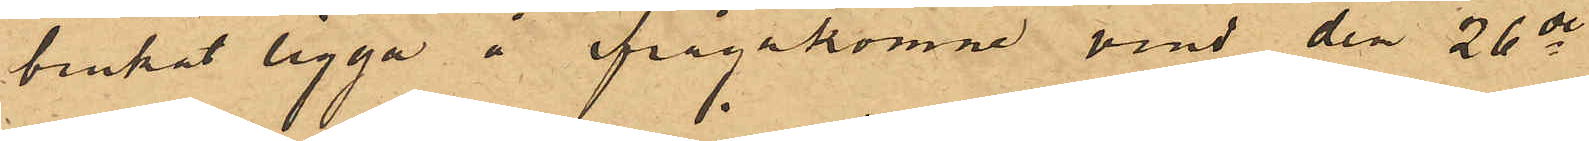brukat ligga å ifrågakomne vind den 26 ds
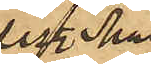sist. Mai
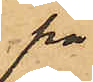på
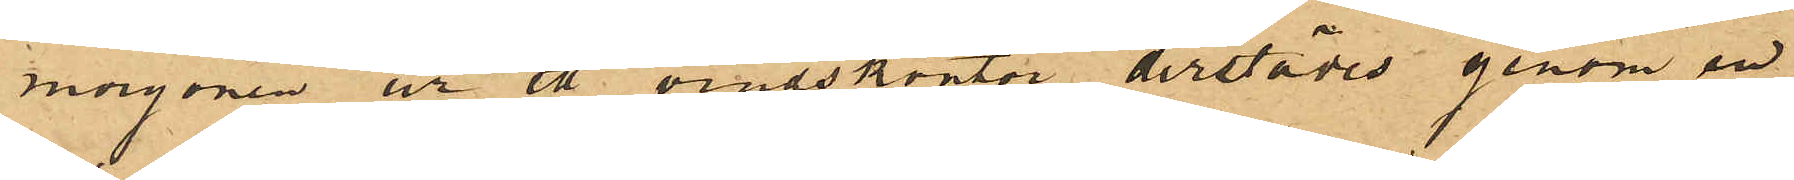morgonen ur ett vindskontor derstädes genom en
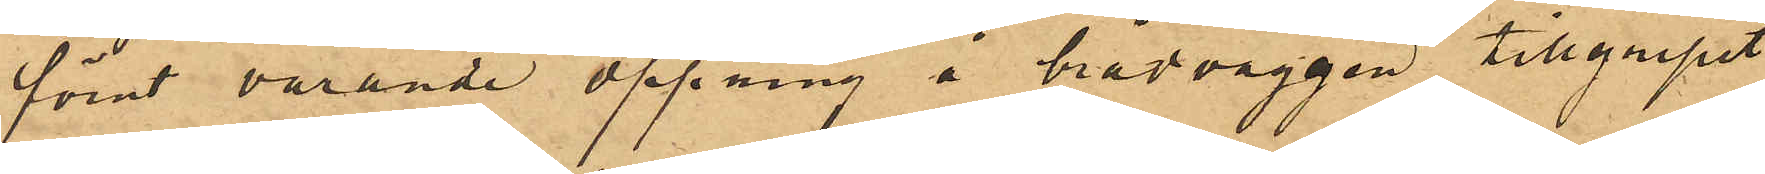förut varande öppning å brädväggen tillgripit
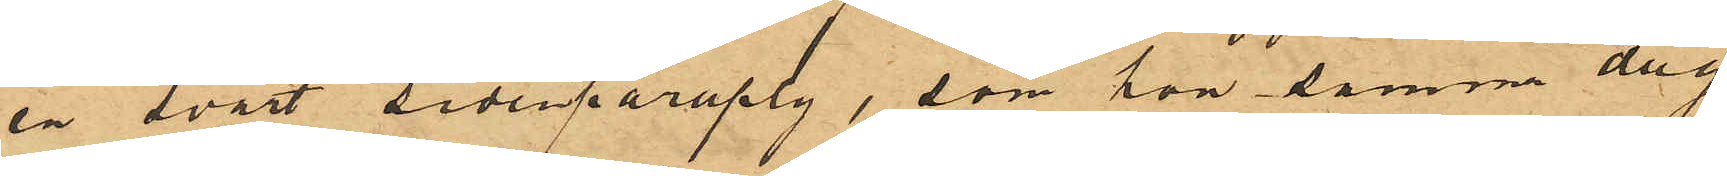en svart sidenparaply, som hon samma dag
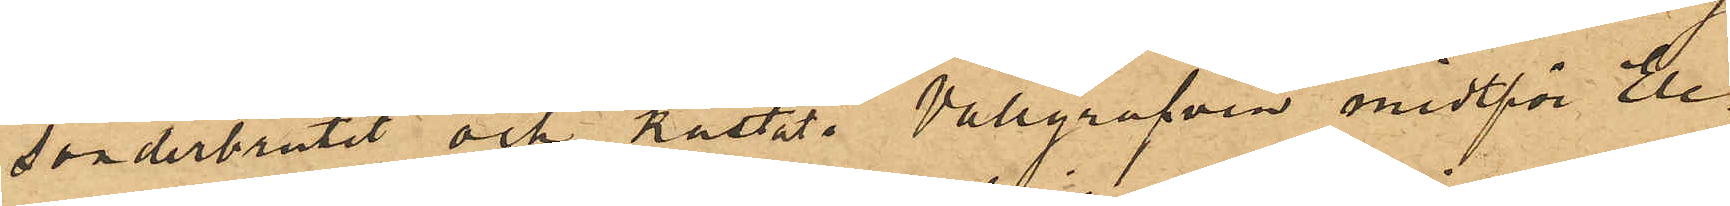sönderbrutit och kastat i Vallgrafven midtför Ele¬
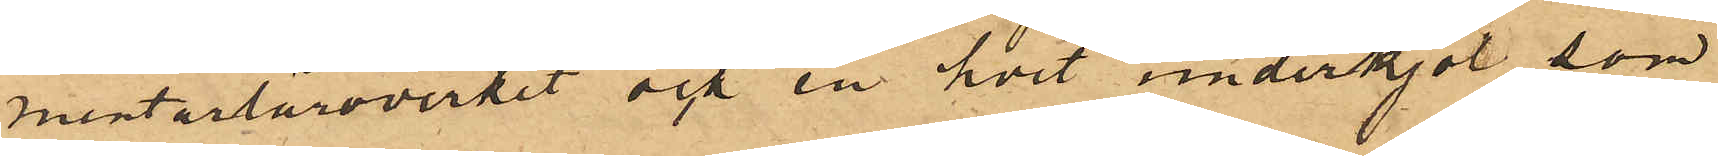mentarläroverket och en hvit underkjol, som
